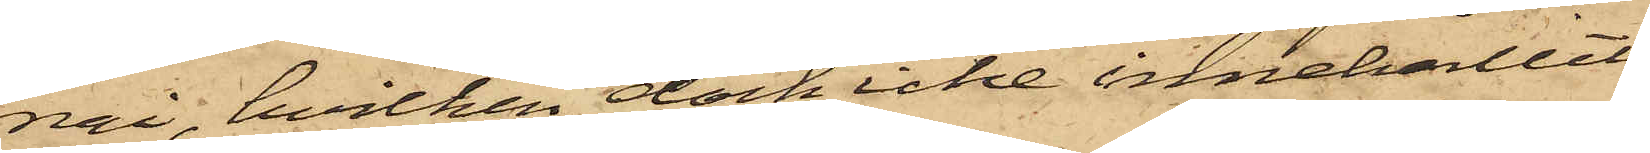nai, hvilken dock icke innehållit
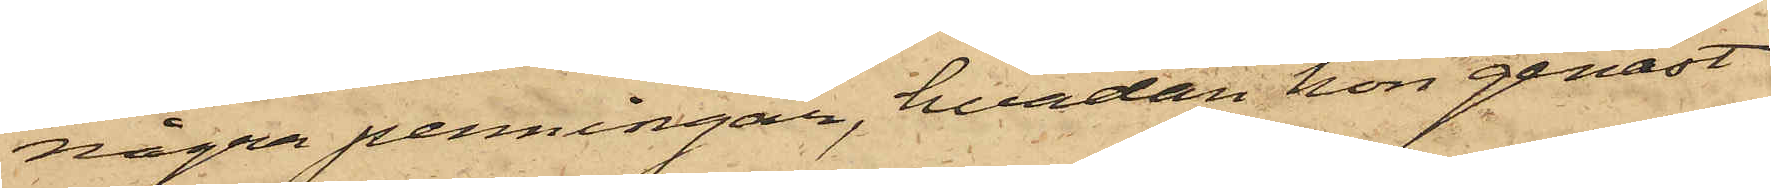några penningar, hvadan hon genast
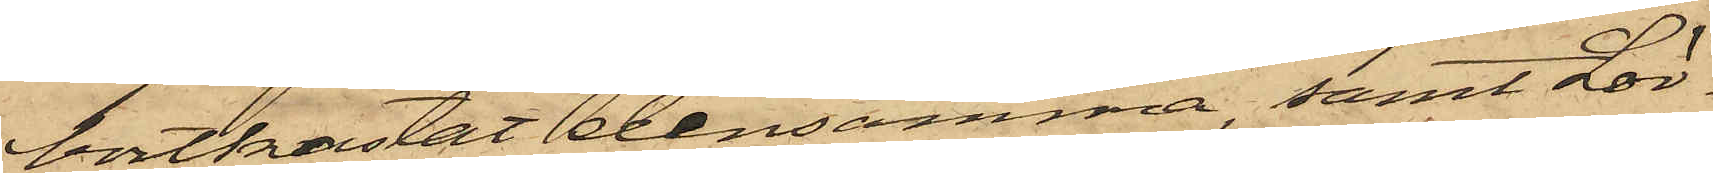bortkastat densamma, samt Lör¬
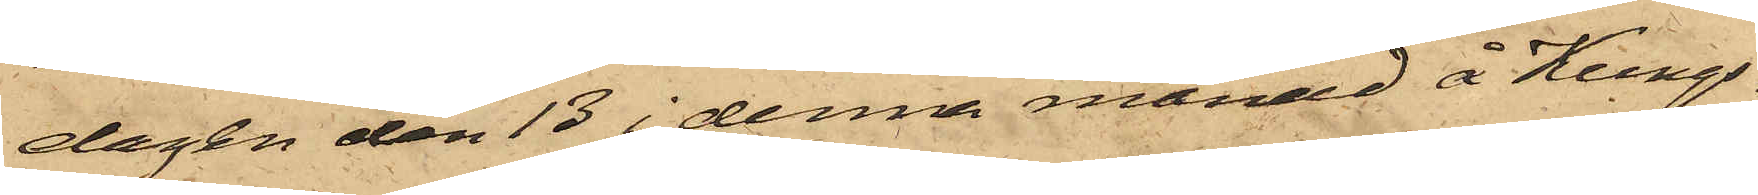dagen den 13 i denna månad å Kungs¬
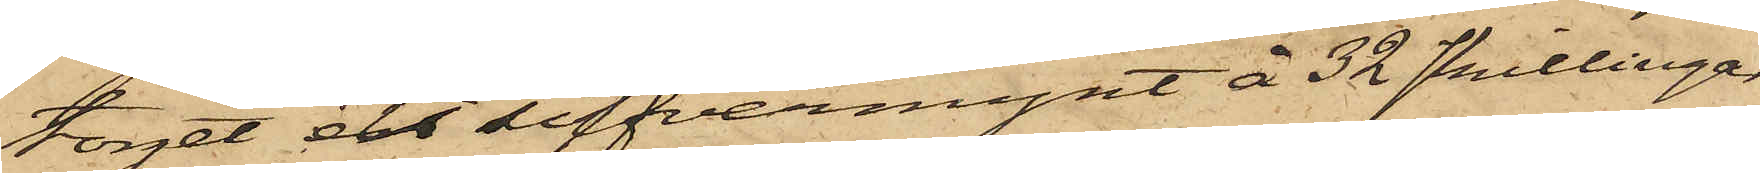torget ett silfvermynt å 32 skillingar
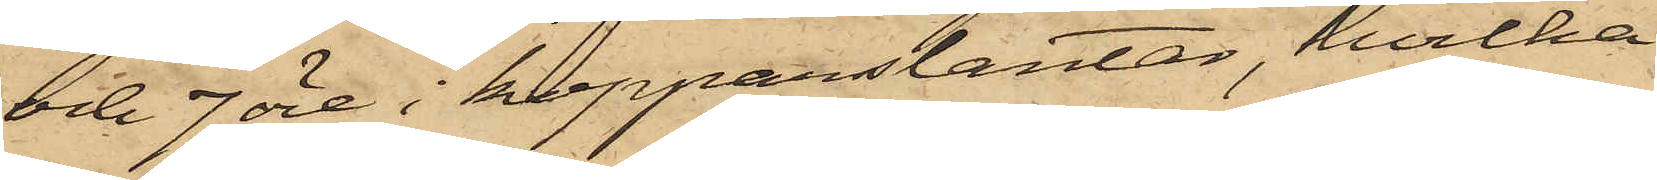och 7 öre i kopparslantar, hvilka
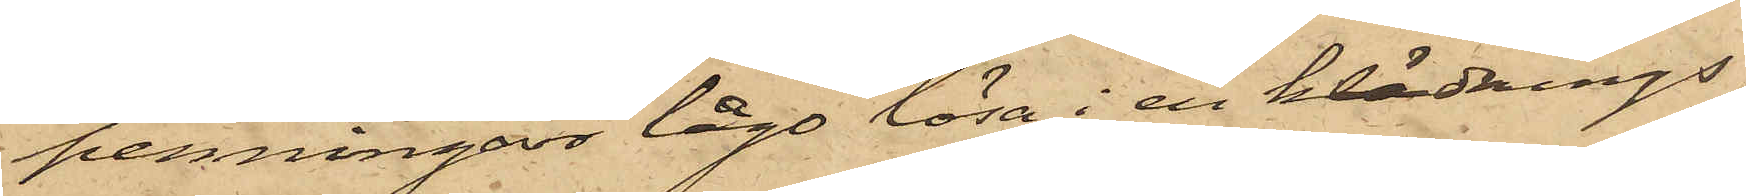penningar lågo lösa i en klädnings¬
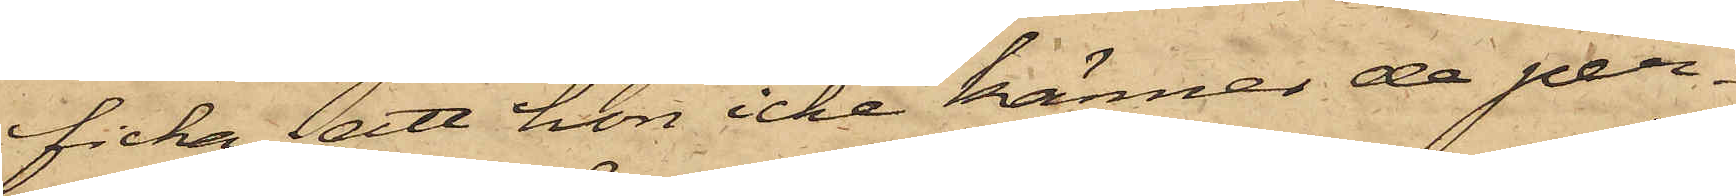ficka; att hon icke känner de per¬
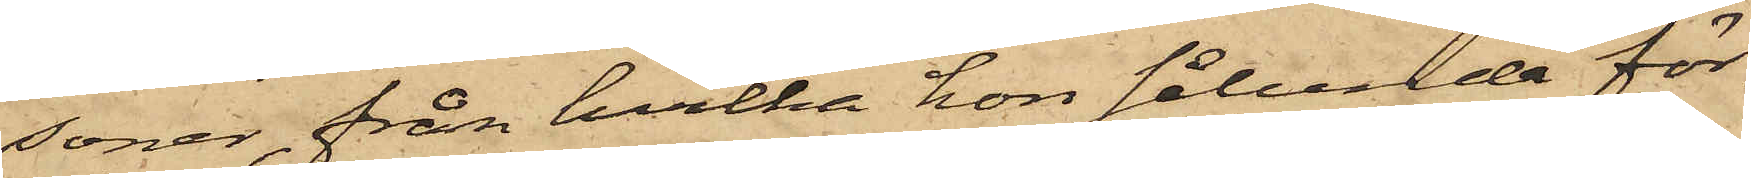soner, från hvilka hon sålunda för¬
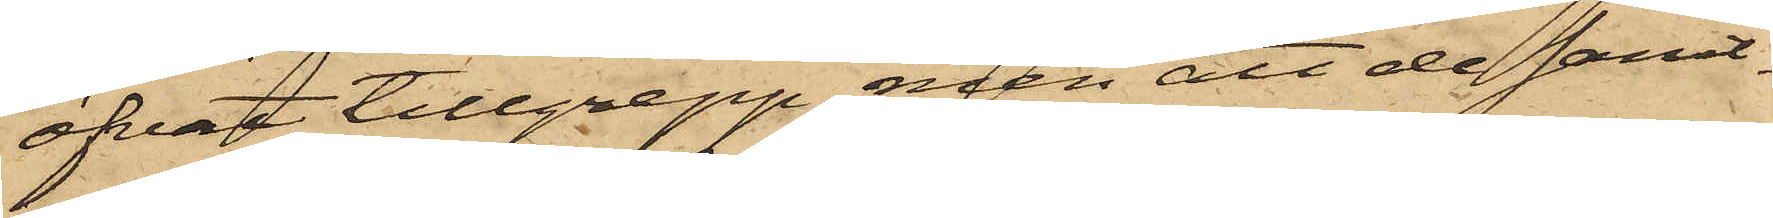öfvat tillgrepp, men att de samt¬
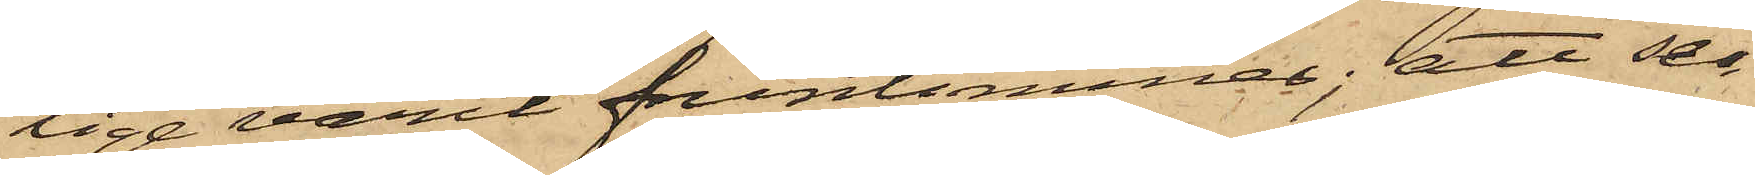lige varit fruntimmer; att se¬
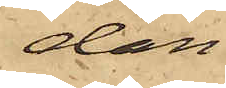dan
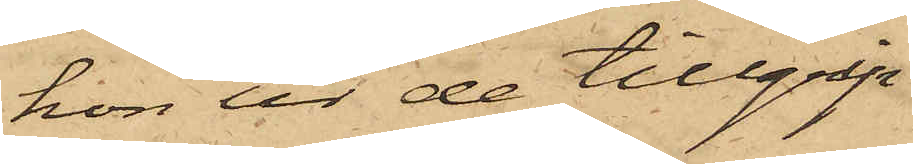hon ur de tillgrip¬
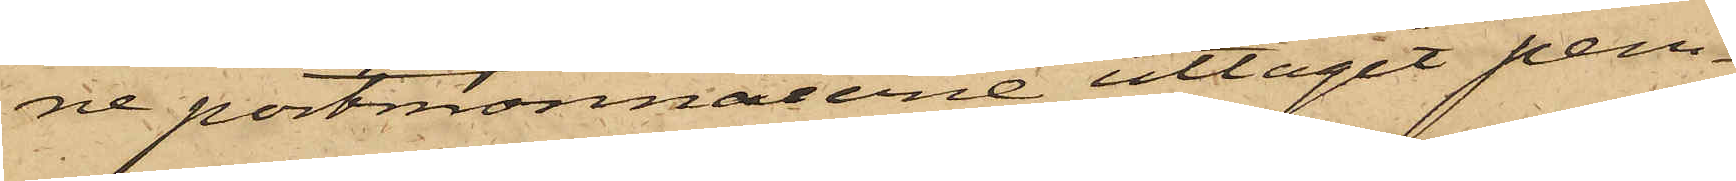ne portmonnaierne uttagit pen¬
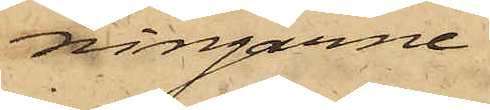ningarne
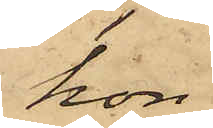hon
